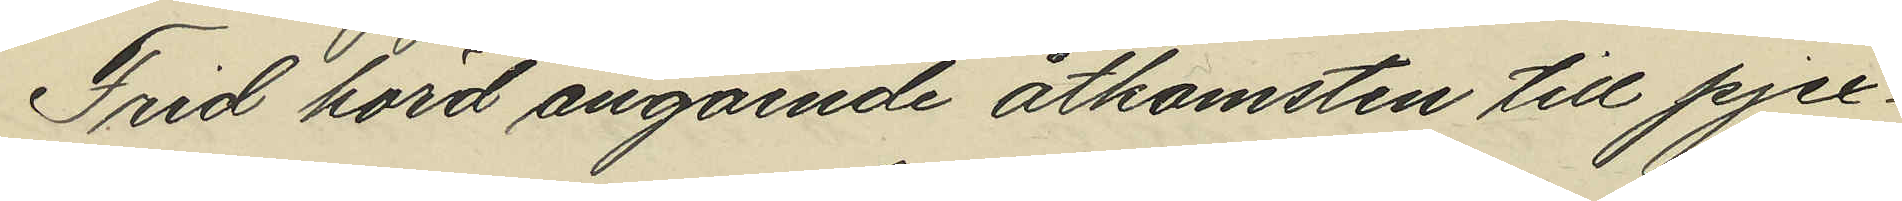Frid hörd angående åtkomsten till pjex¬
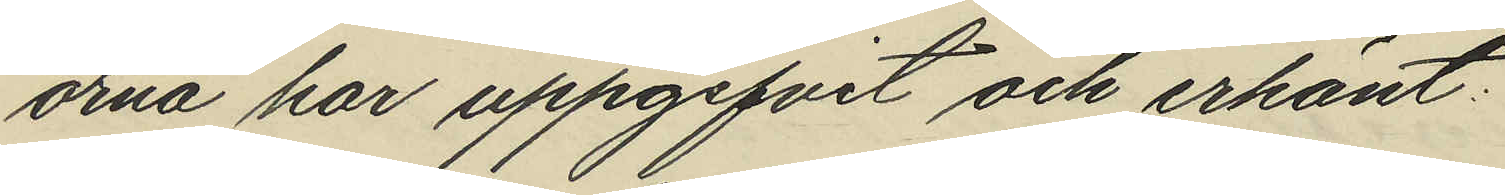orna har uppgifvit och erkänt:
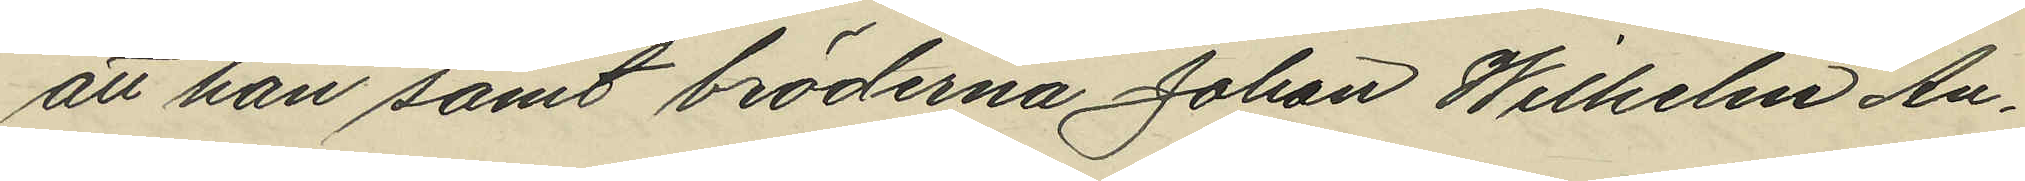att han samt bröderna Johan Wilhelm An¬
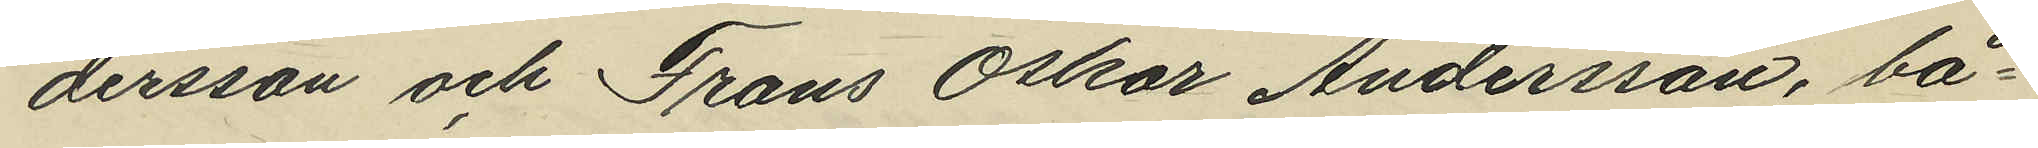dersson och Frans Oskar Andersson, bå¬
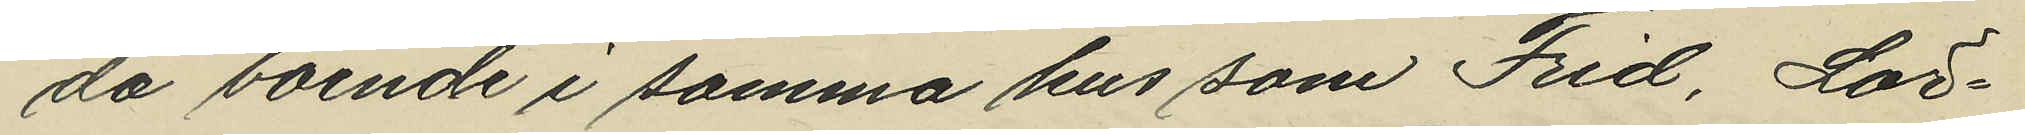da boende i samma hus som Frid, Lör¬
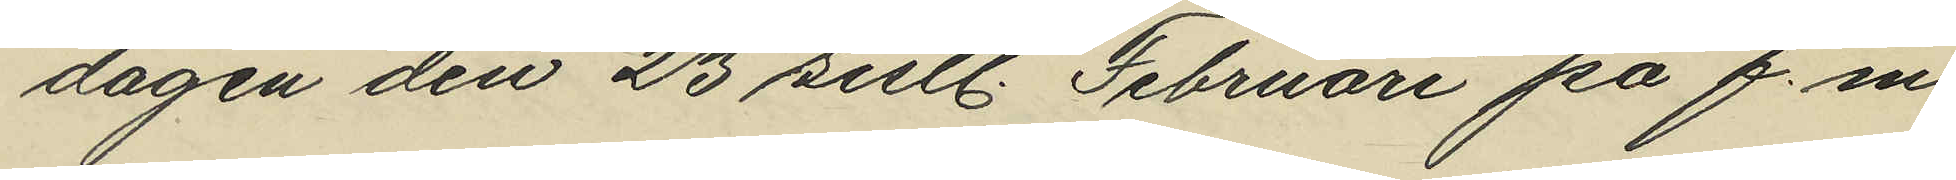dagen den 23 sistl. Februari på f.m.
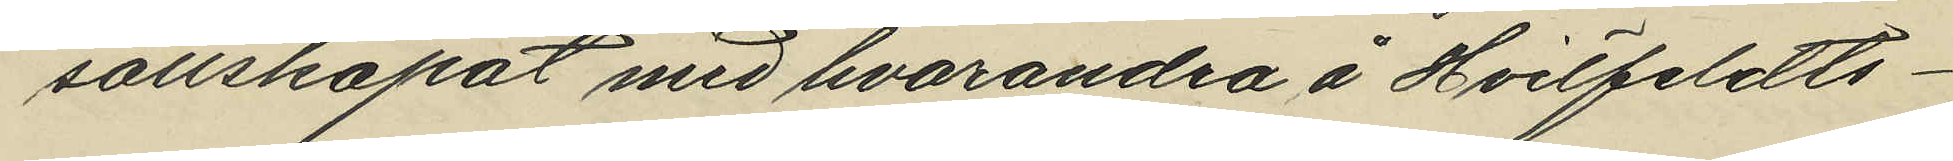sällskapat med hvarandra å Hvitfeldts¬
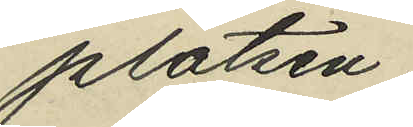platsen;
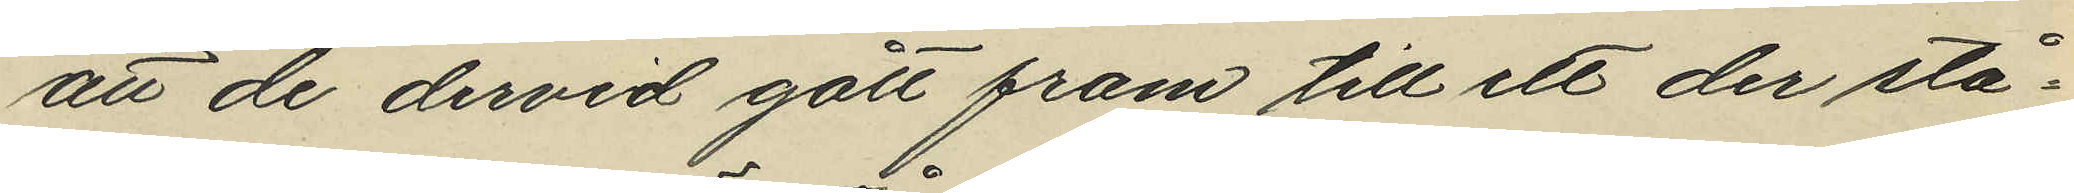att de dervid gått fram till ett der stå¬
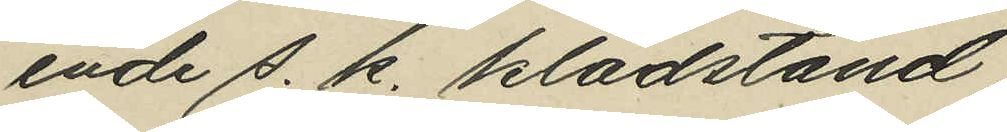ende s. k. klädstånd,
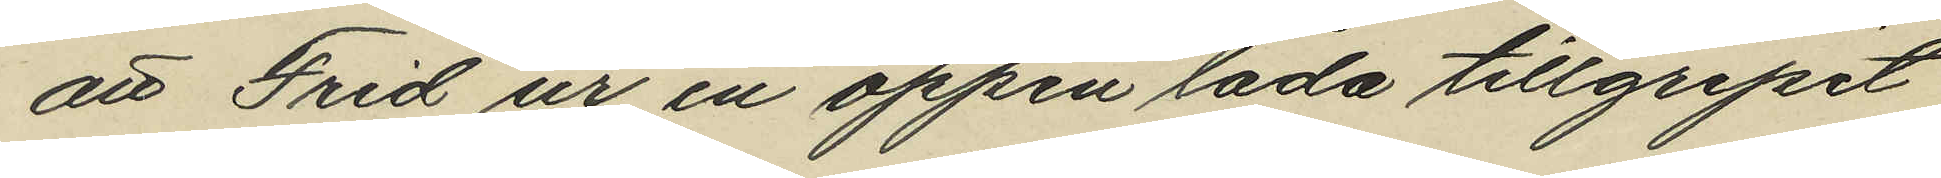att Frid ur en öppen låda tillgripit
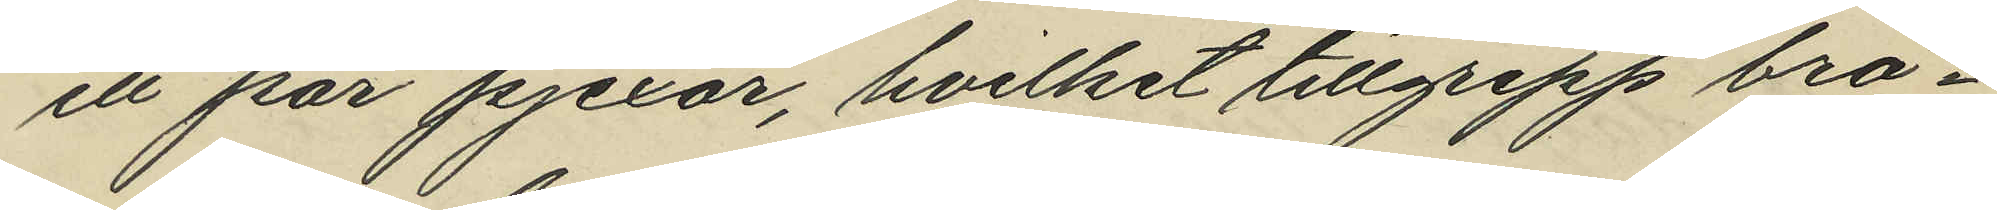ett par pjexor, hvilket tillgrepp brö¬
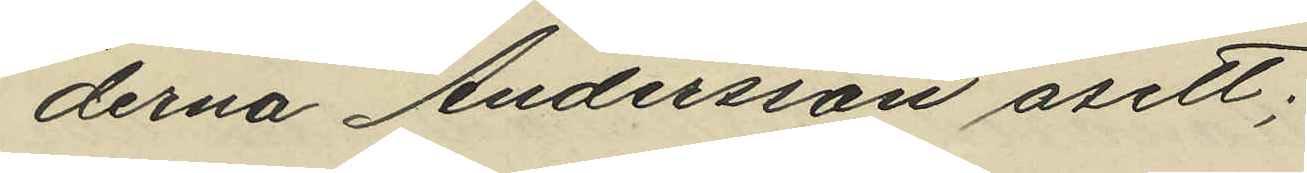derna Andersson åsett;
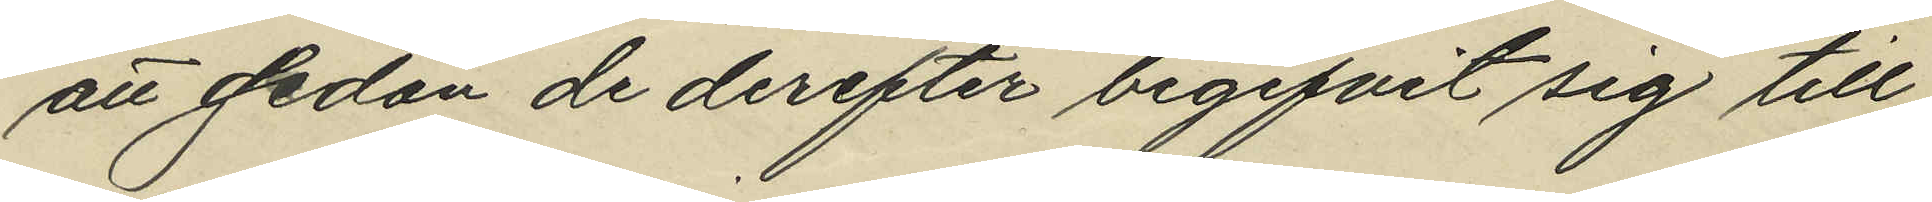att sedan de derefter begifvit sig till
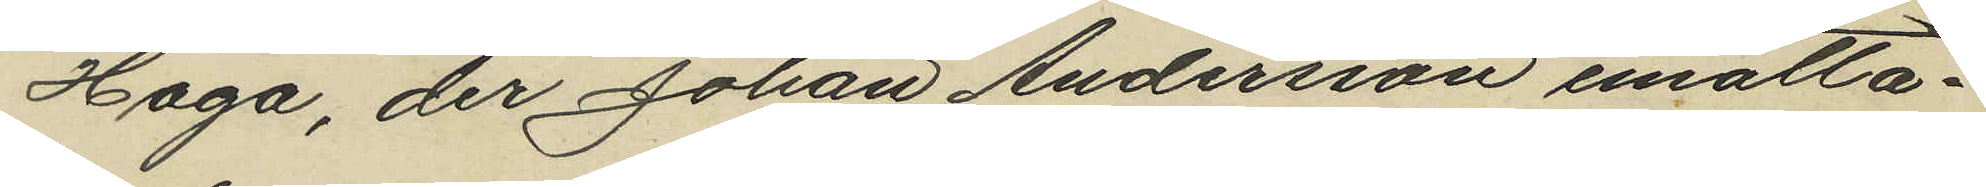Haga, der Johan Andersson emotta¬
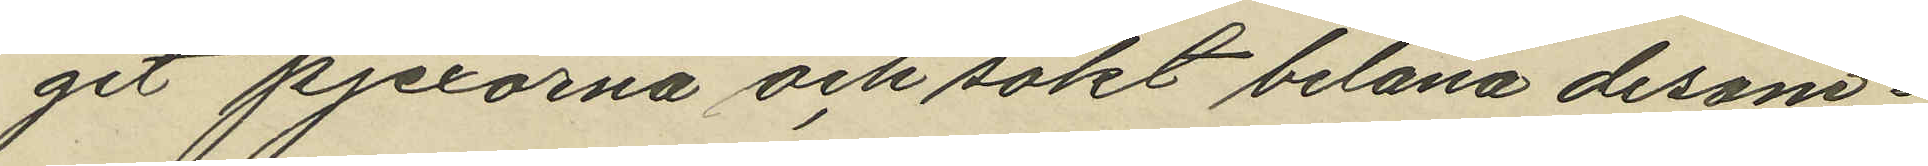git pjexorna och sökt belåna desam¬
